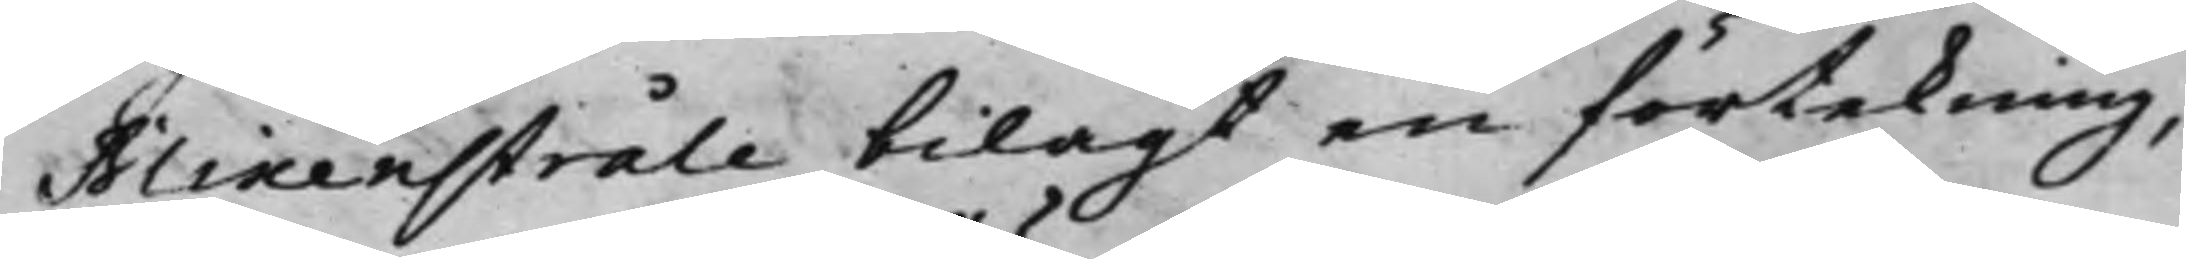Blixenstråle bilagt en förtekning,
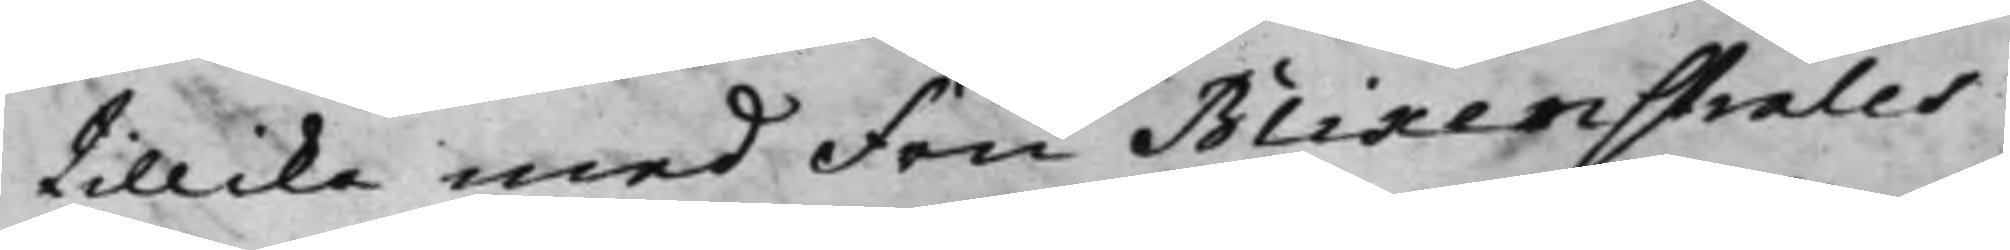tillika med Fru Blixenstråles
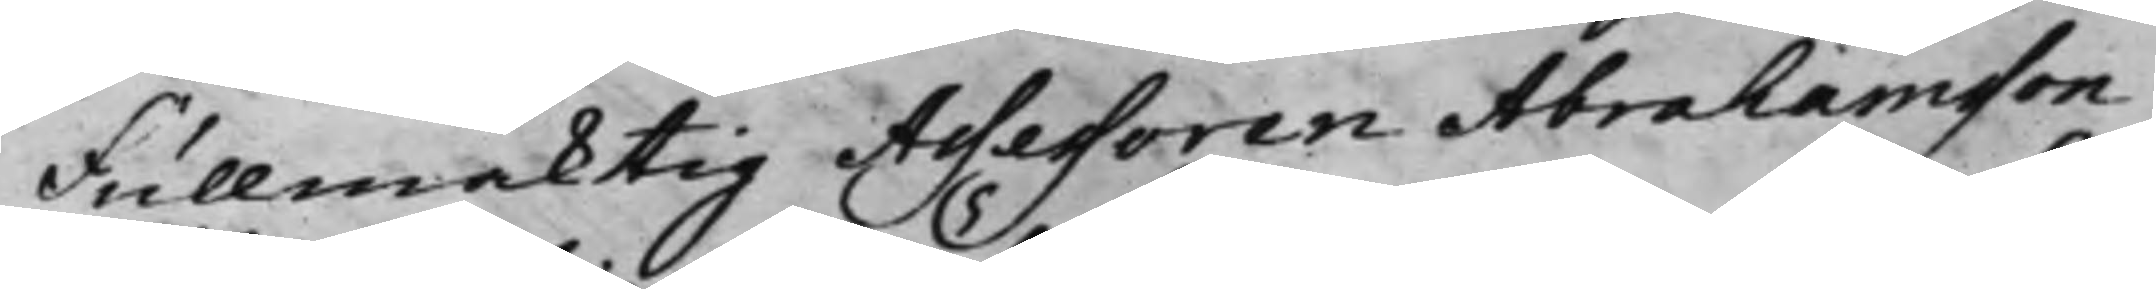Fullmäcktig Assessoren Abrahamsson
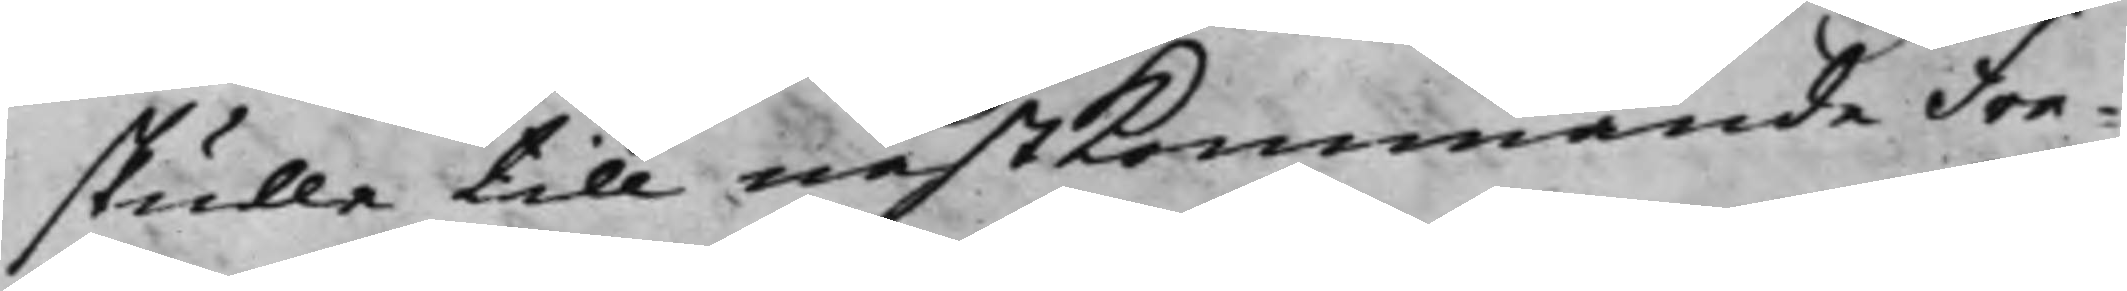skulle till nästkommande Fre¬
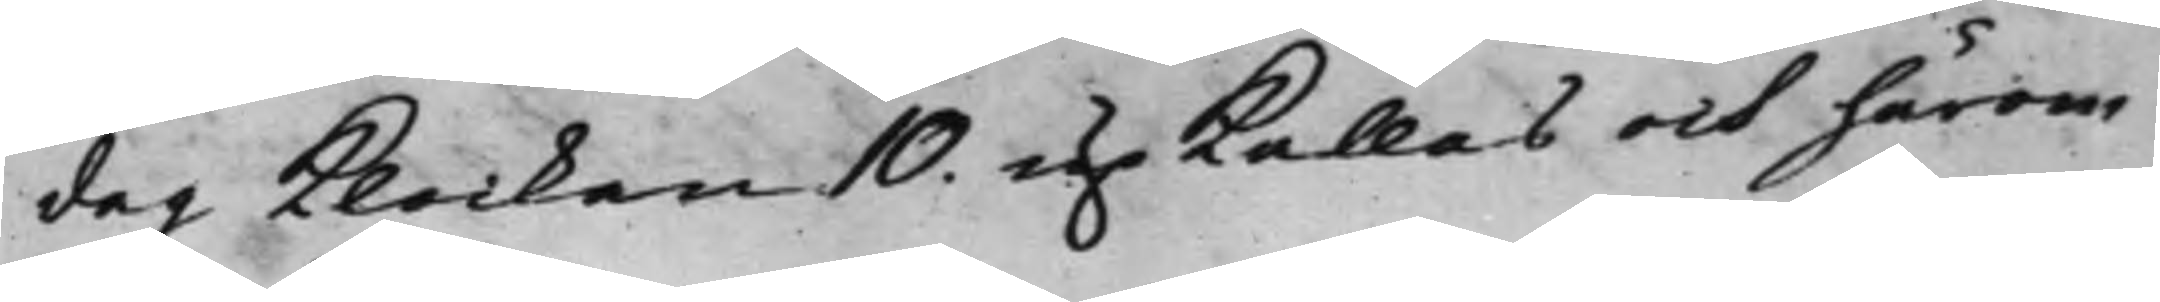dag klockan 10. up kallas och härom
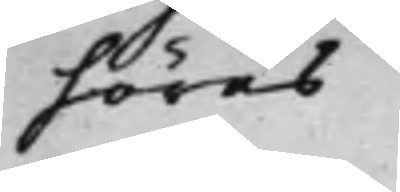höras.
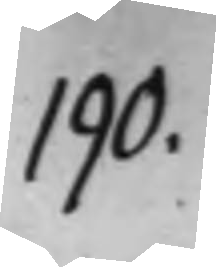190.
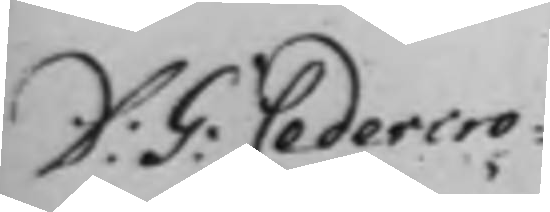D: G: Cedercro¬
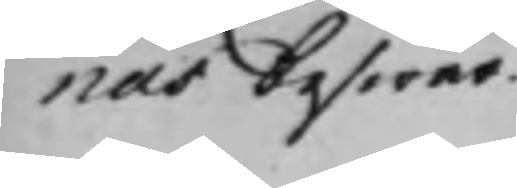nas beswär.
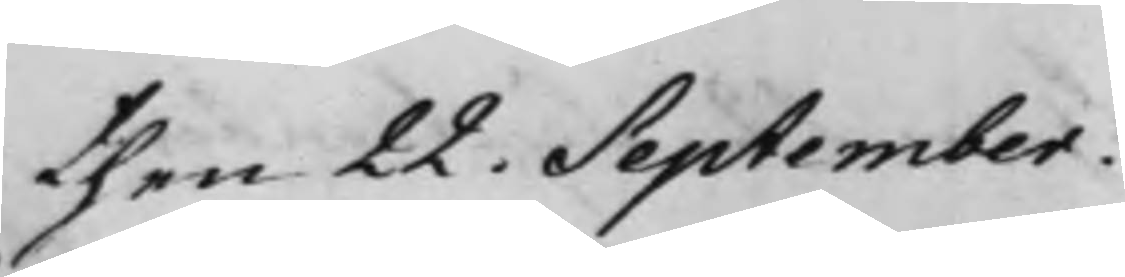then 22. September.
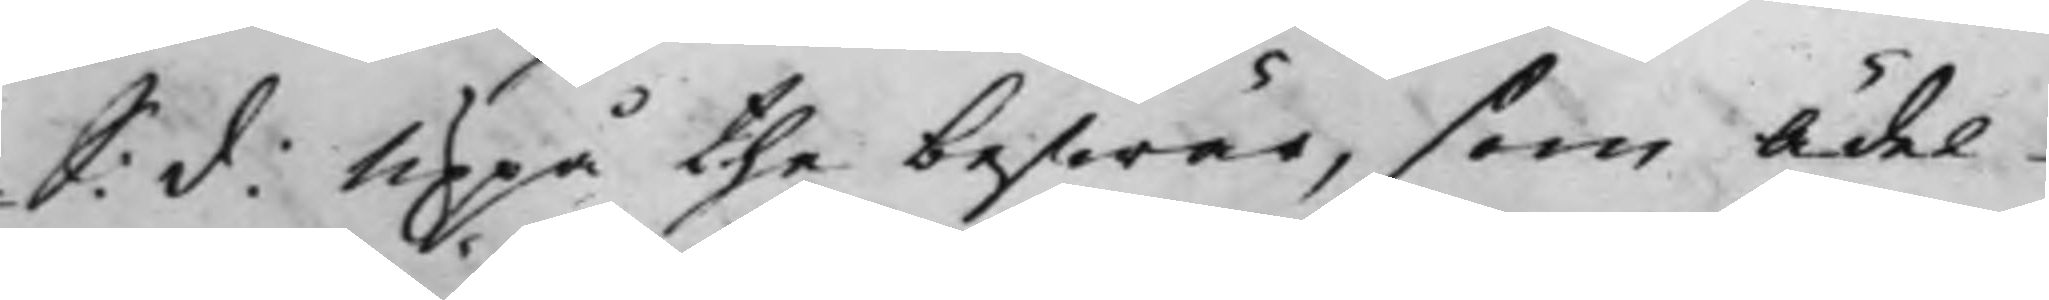S: d: Uppå the beswär, som Ädel
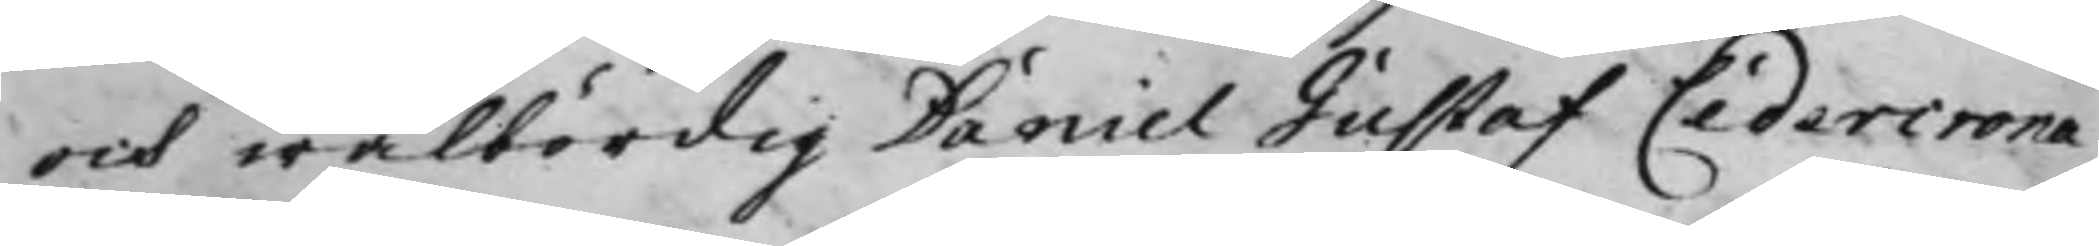och wälbördig Daniel Gustaf Cedercrona
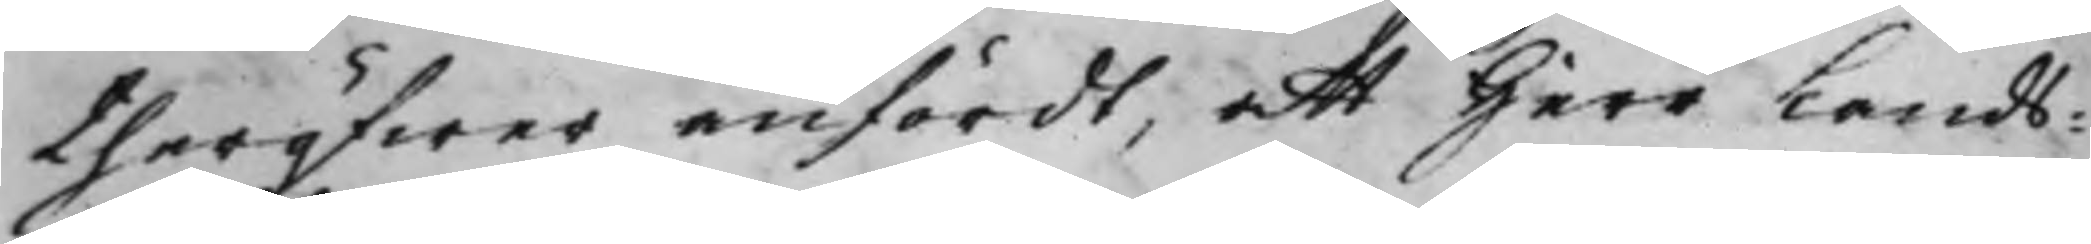theröfwer anfördt, att Herr Lands¬
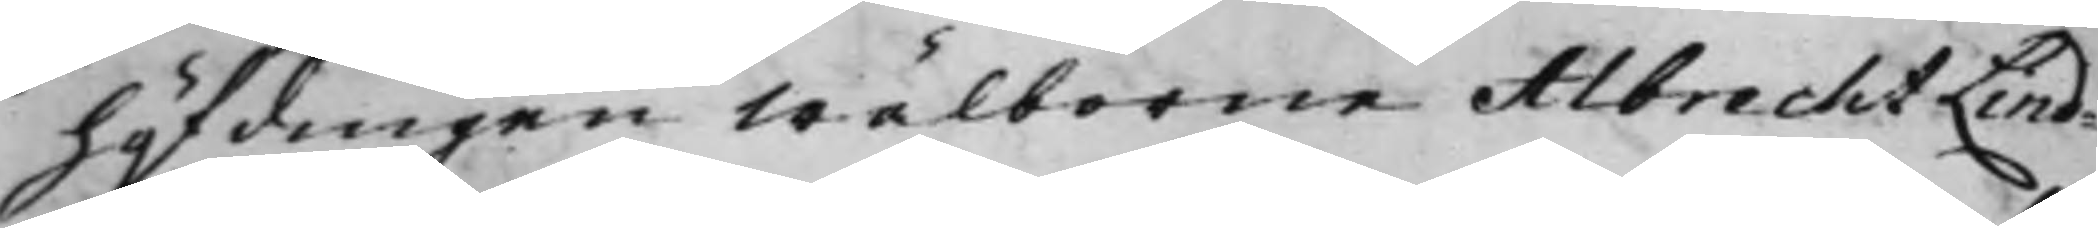höfdingen Wälborne Albrecht Lind¬
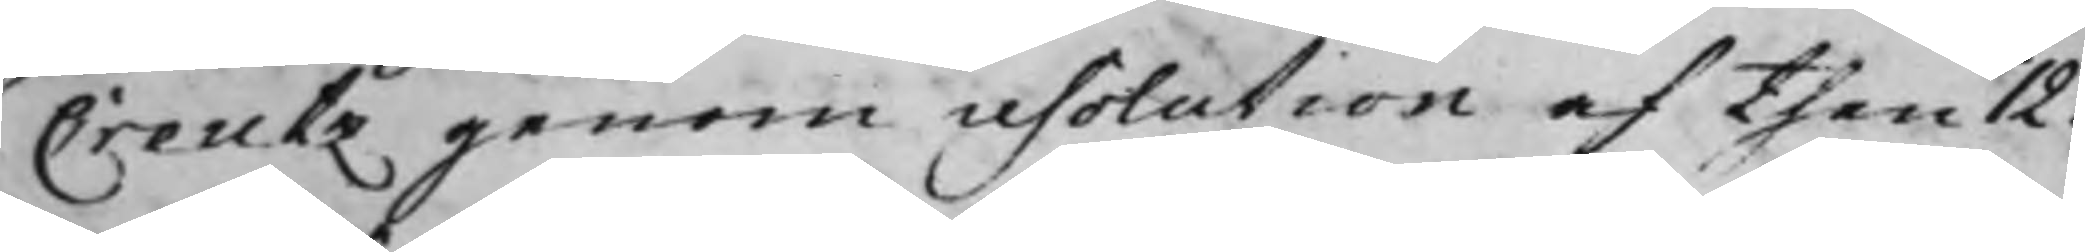Creutz genom resolution af then 12.
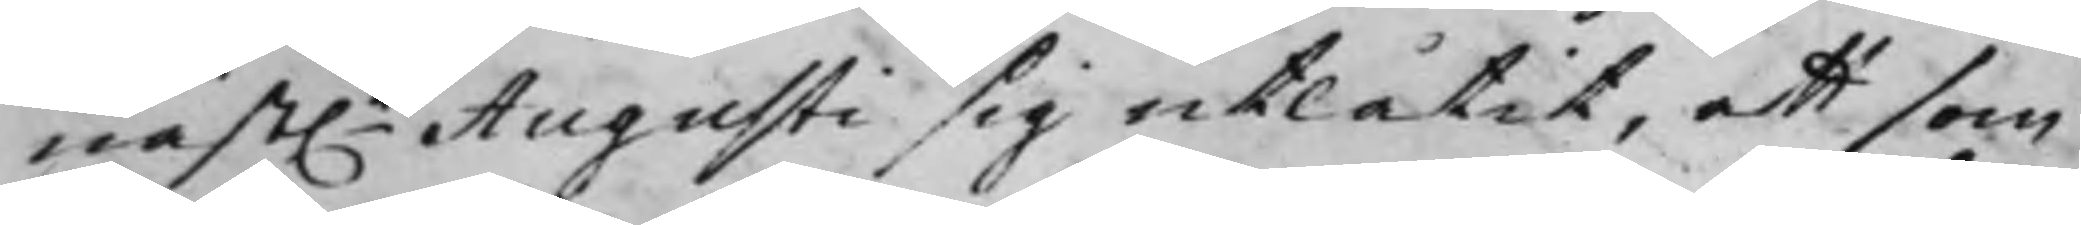näst.e Augusti sig utlåtit, att som
